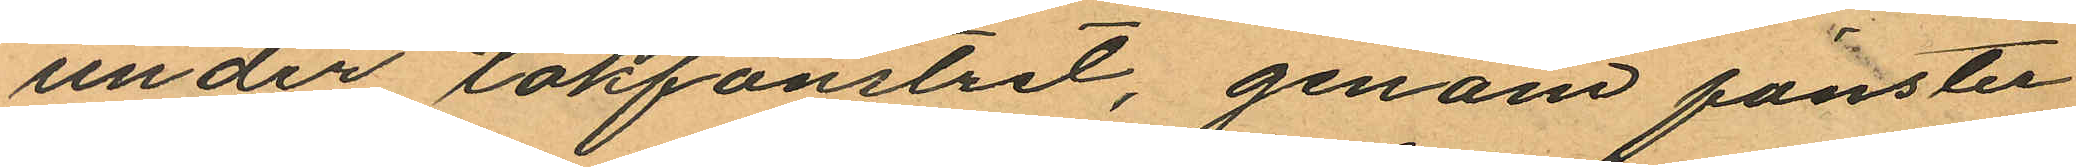under takfönstret, genom fönster
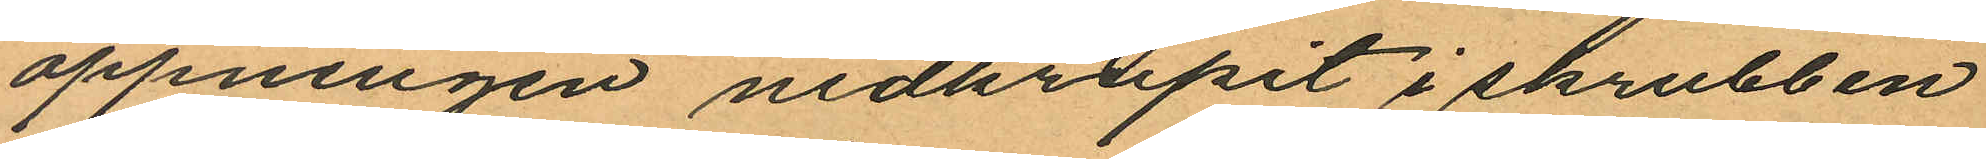öppningen nedkrupit i skrubben
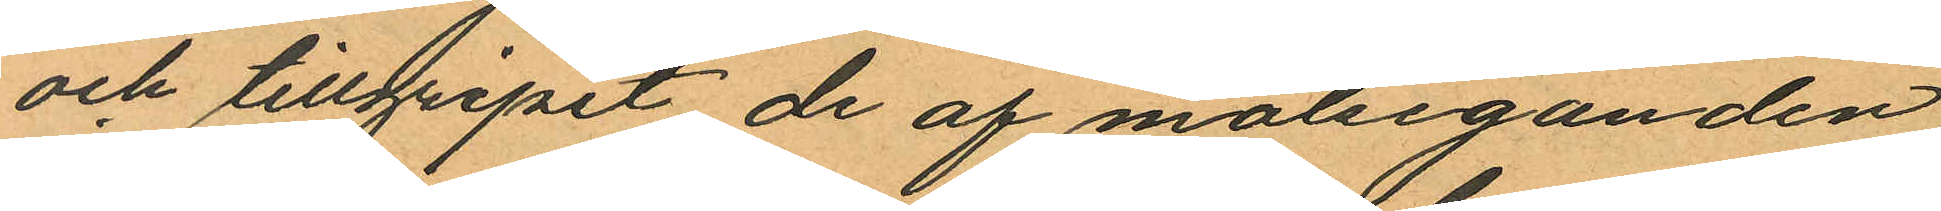och tillgripit de af målseganden
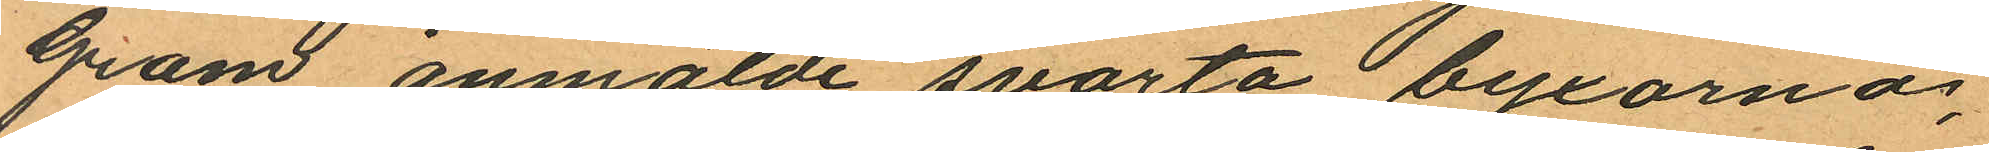Gram anmälde svarta byxorna;
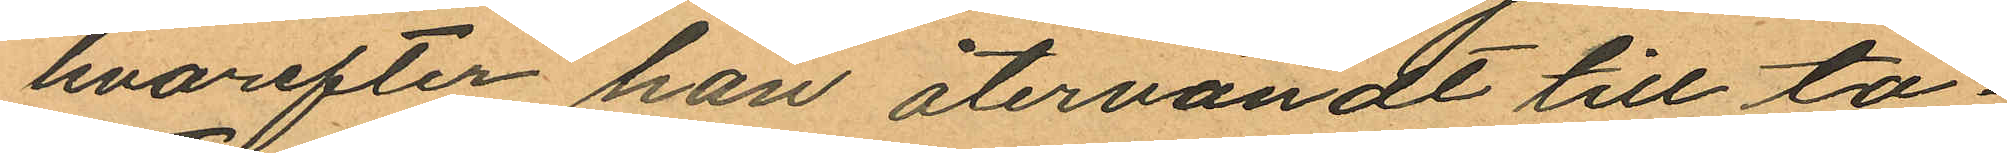hvarefter han återvändt till ta¬
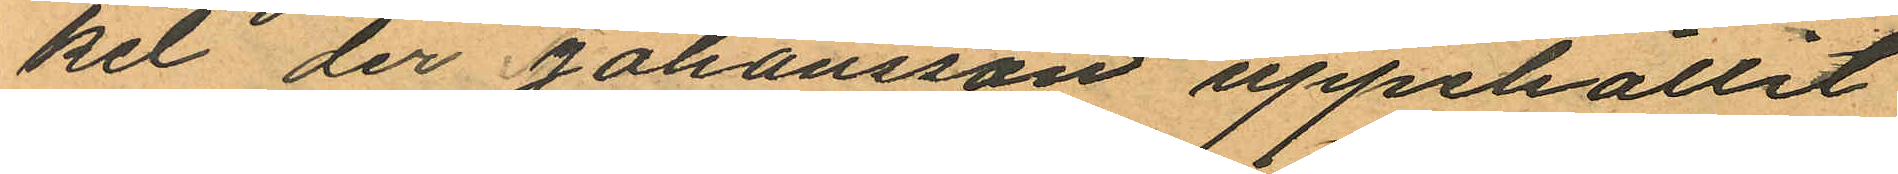ket, der Johansson uppehållit
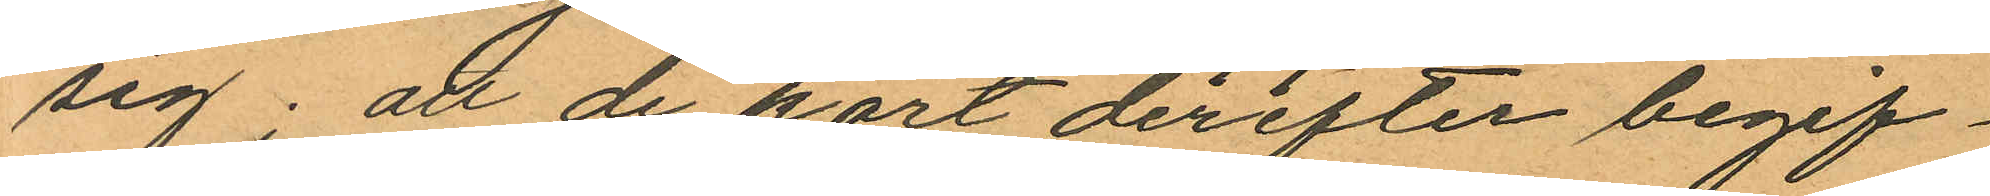sig; att de kort derefter begif¬
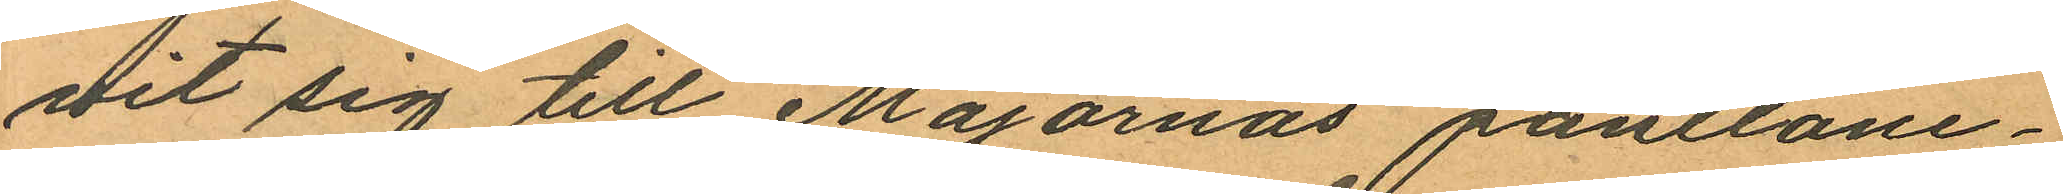vit sig till Majornas pantlåne¬
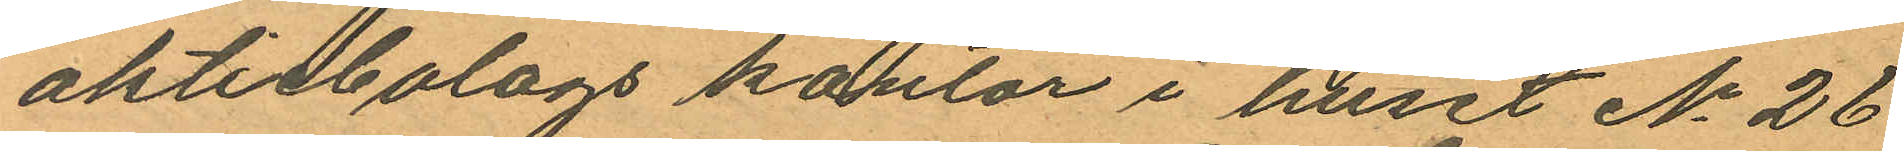aktiebolags kontor i huset No 26
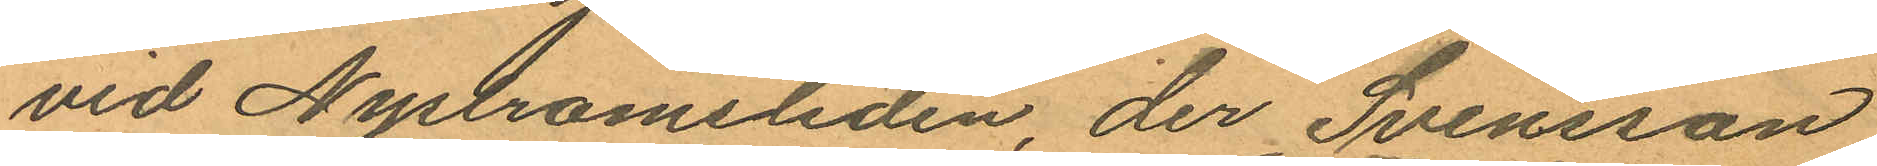vid Nystromsliden, der Svensson
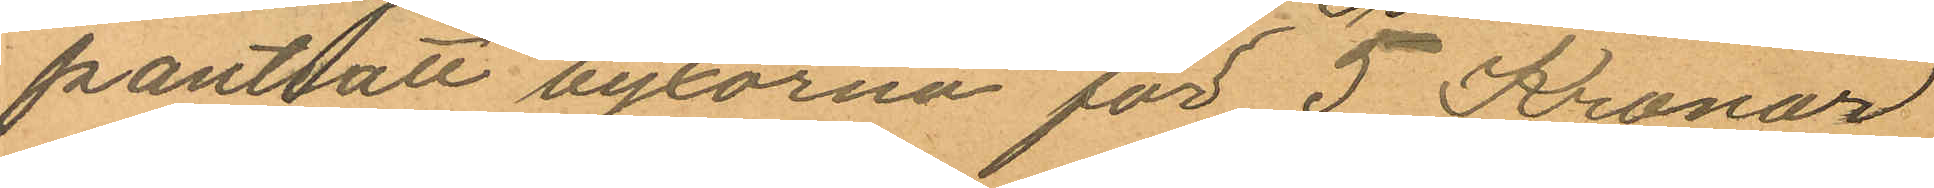pantsatt byxorna för 5 Kronor
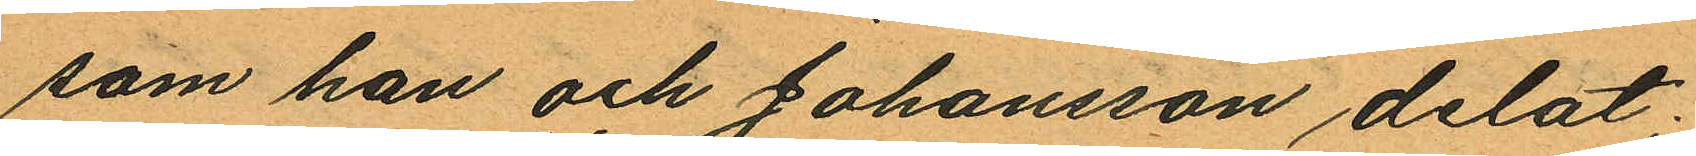som han och Johansson delat;
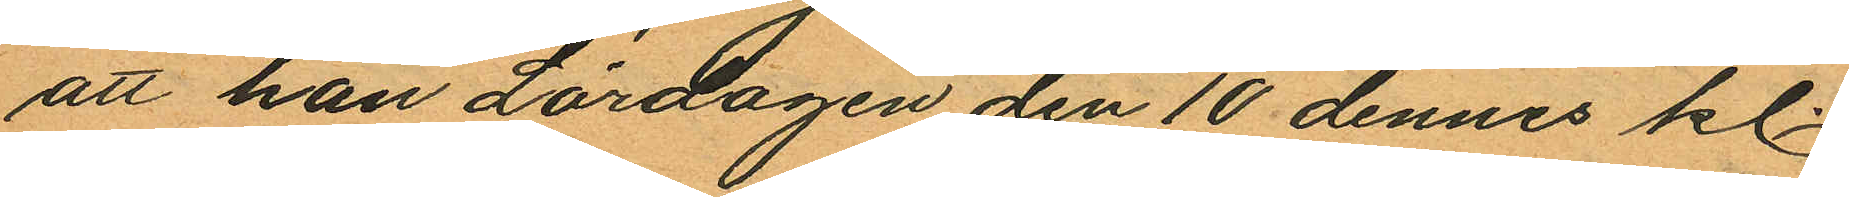att han Lördagen den 10 dennes kl.
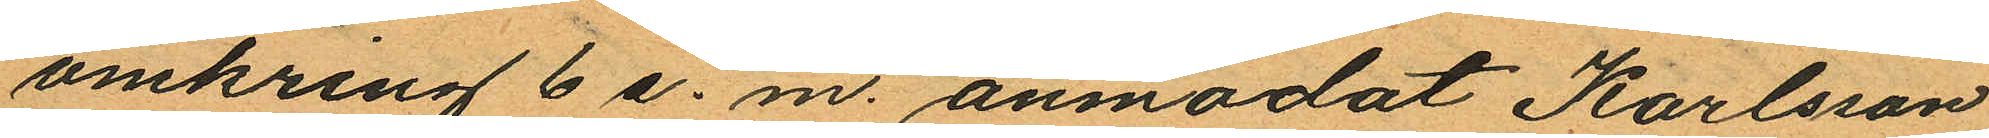omkring 6 e. m. anmodat Karlsson
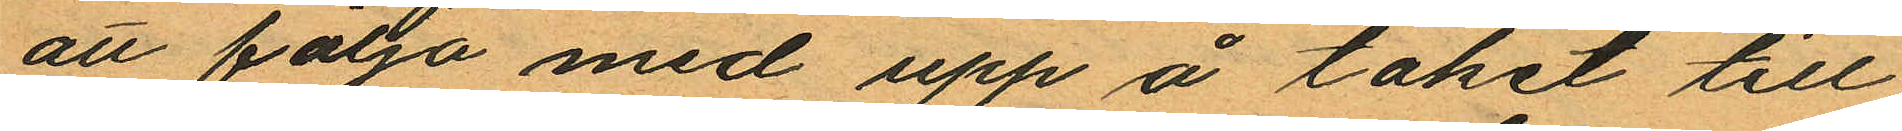att följa med upp å taket till
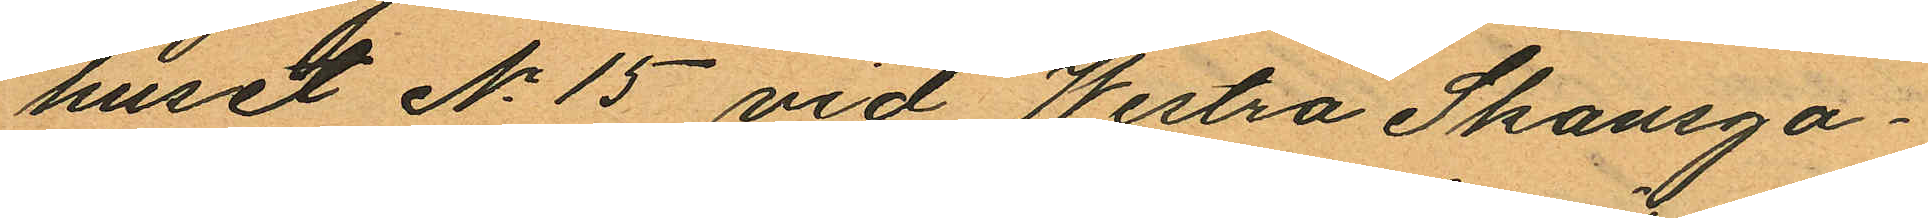huset No 15 vid Westra Skansga¬
